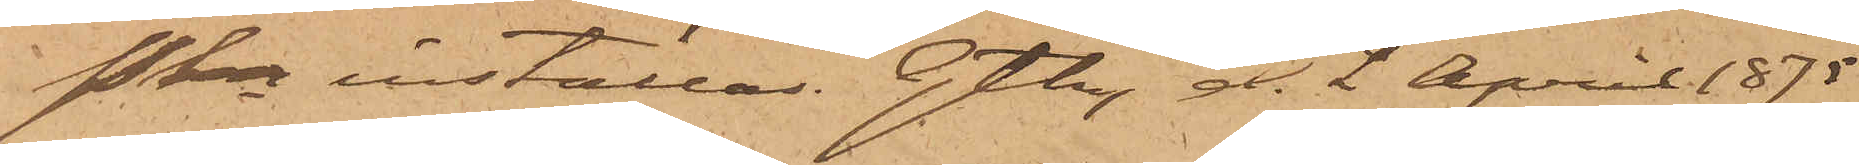Pkn inställas. Gtbg d. 2 April 1875.
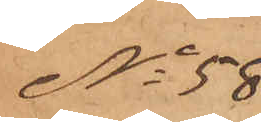No 58
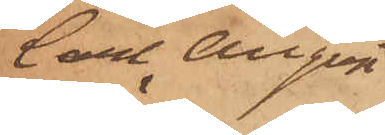Carl August
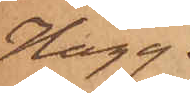Hägg.
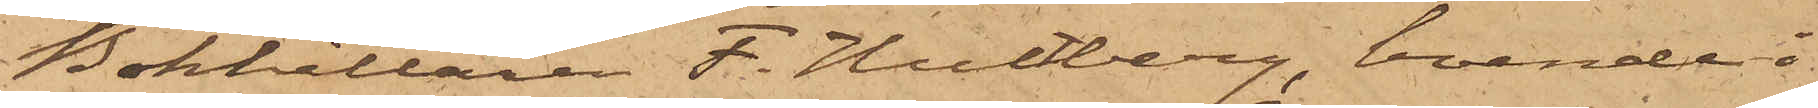Bokhållaren F. Hultberg, boende i
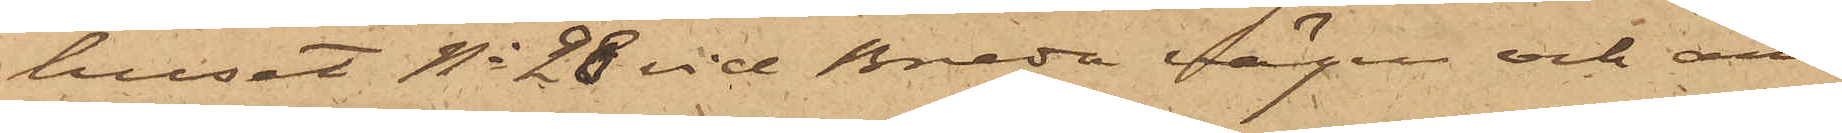huset No 28 vid Breda vägen och an¬
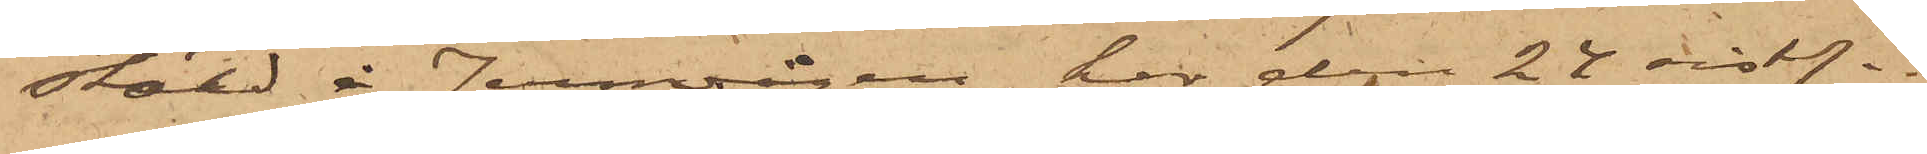stäld å Jernvågen, har den 24 sistl.
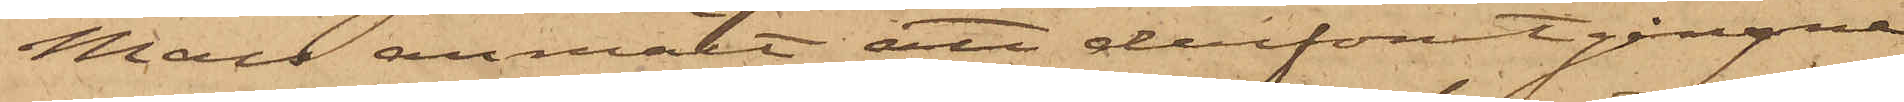Mars anmält att derförutgångne
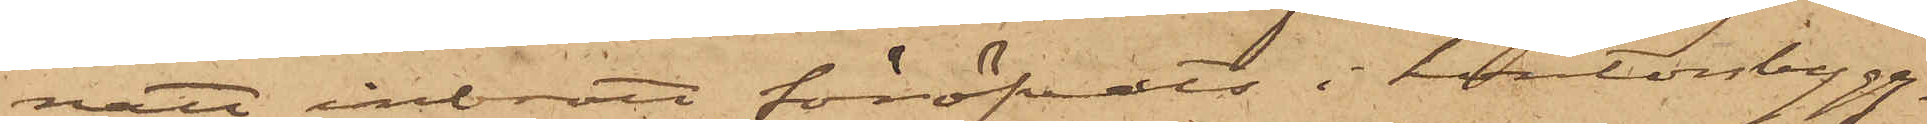natt inbrott föröfvats i kontorsbygg¬
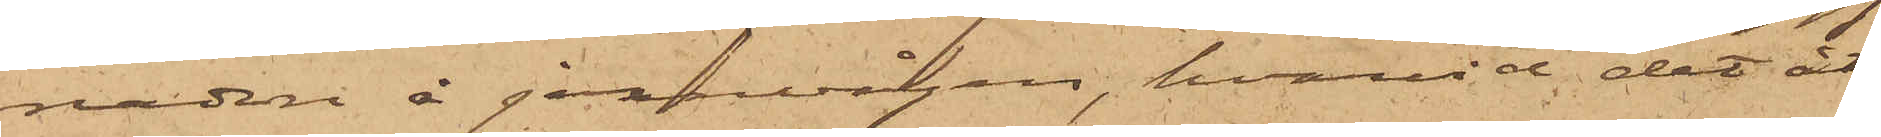naden å jernvågen, hvarvid det åt
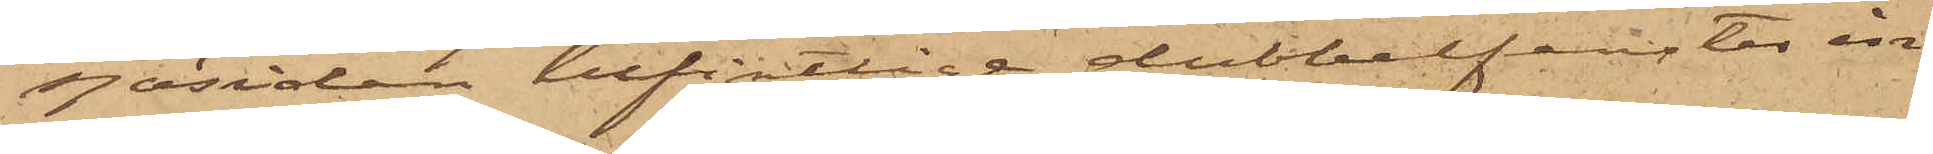sjösidan befintlige dubbelfenster in¬
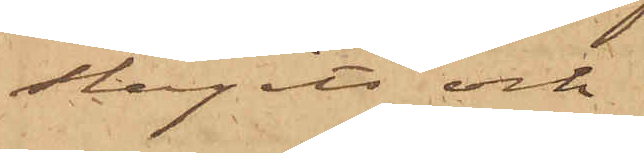slagits och
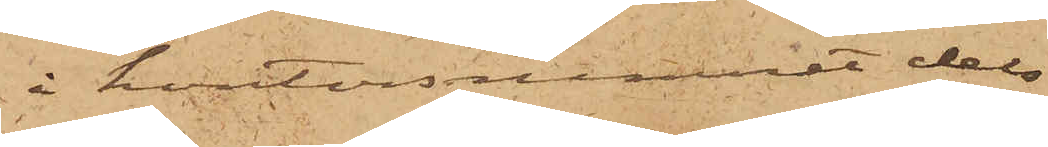å kontorsrummet dels
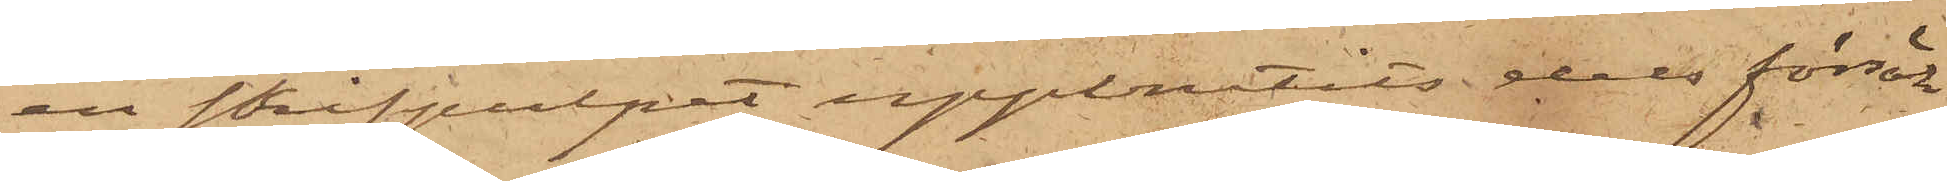en skrifpulpet uppbrutits dels försök
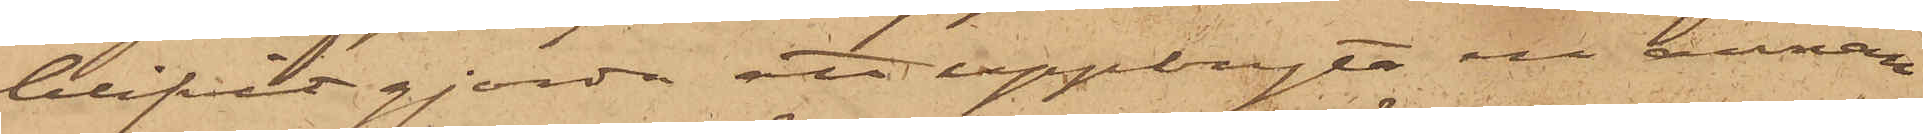blifvit gjorda att uppbryta en annan
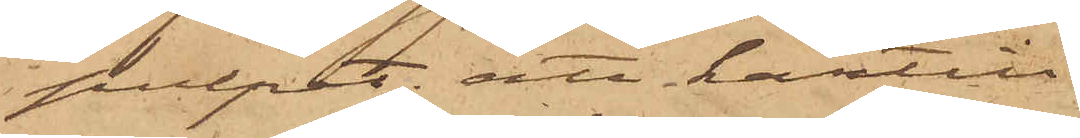pulpet; att härtill
